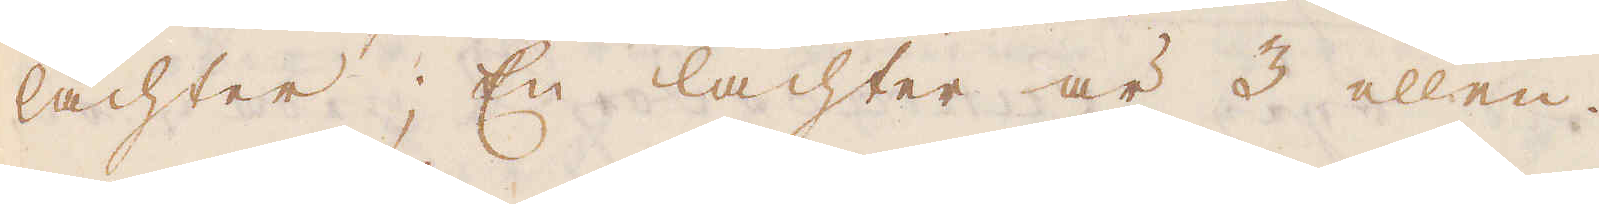lachter; En lachter är 3 ellen.
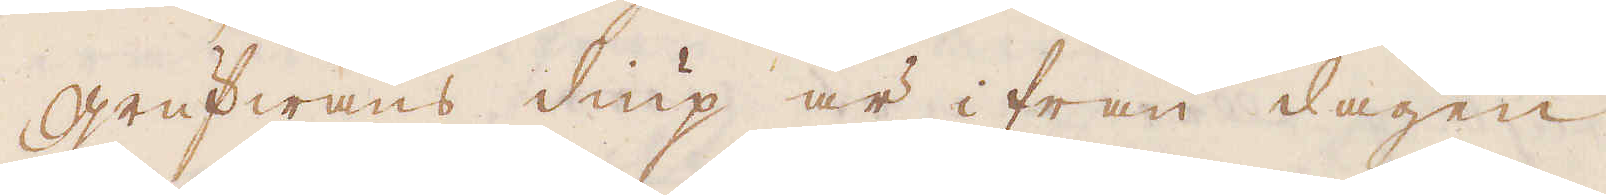Grufwans diup är ifrån dagen
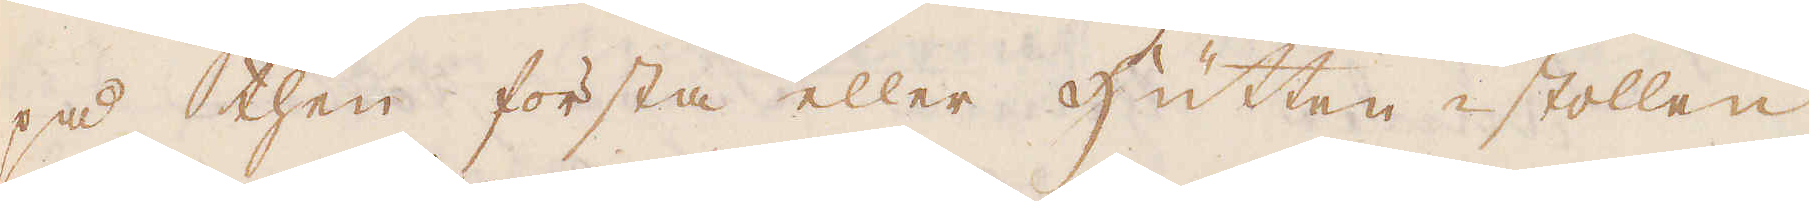på then första eller Hutten i stollen
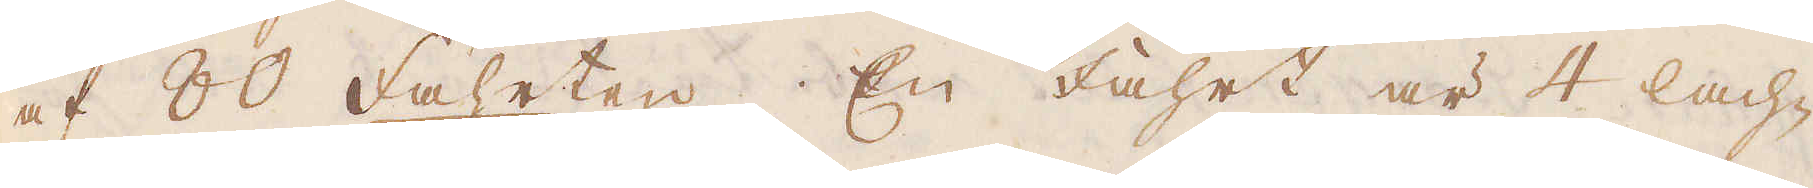af 80 fahrten. En fahrt är 4 lach-
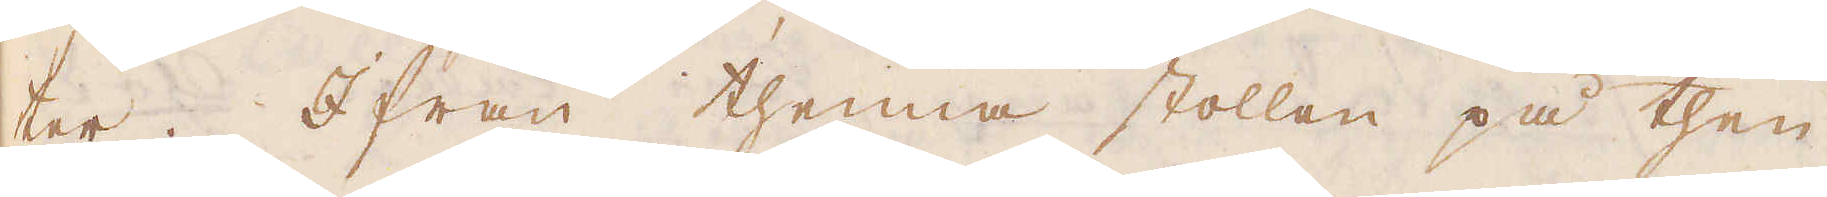ter. Ifrån thenna stollen på then
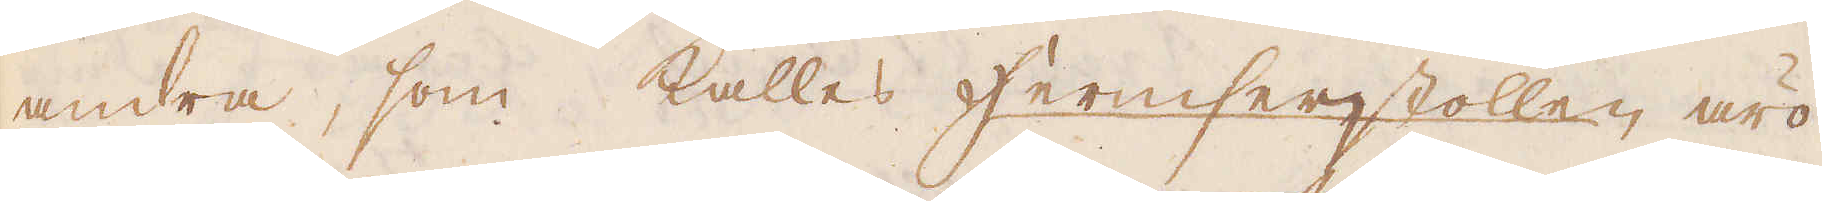andra, som kallas Hermsersstollen äro
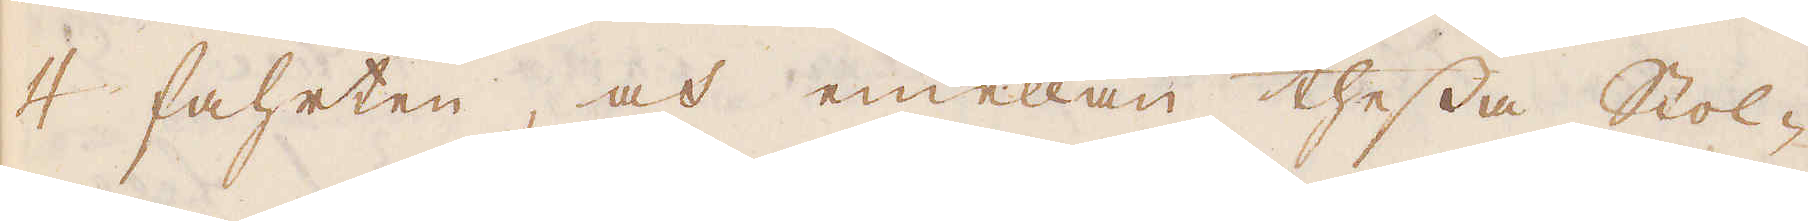4 faheten, och emellan thessa Stol-
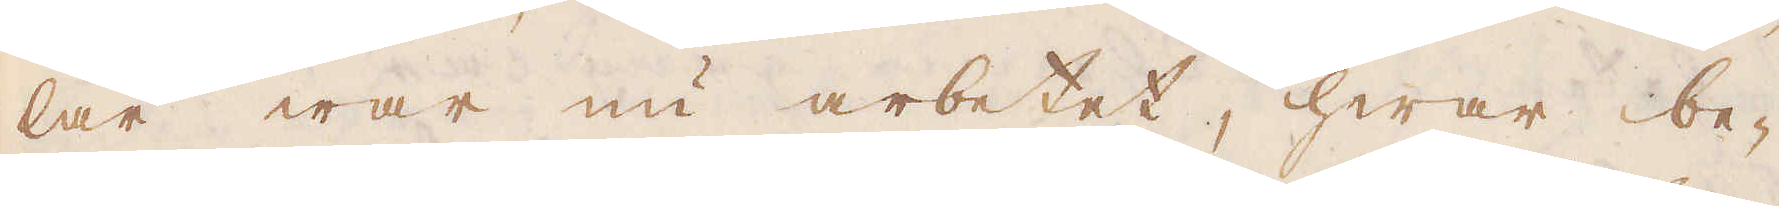lar war nu arbetet, hwar be-
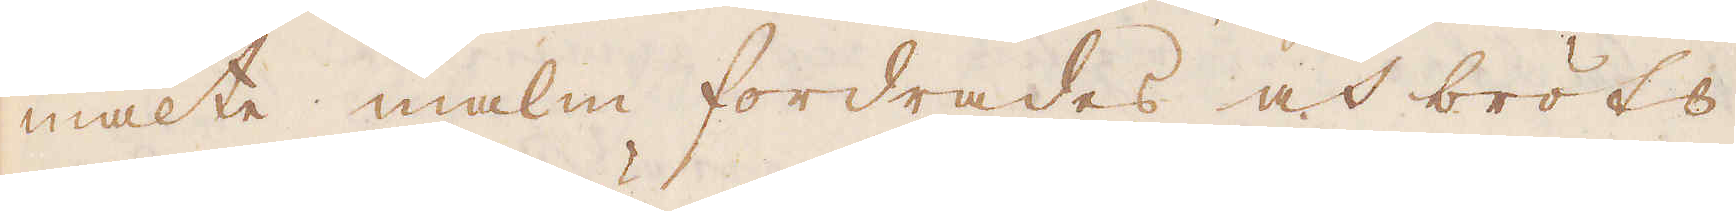mälte malm fordrades och bröts
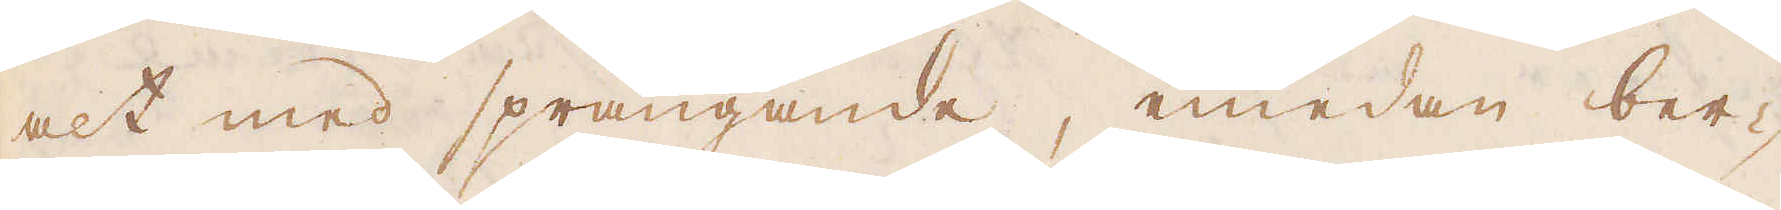alt med sprängande, medan ber-
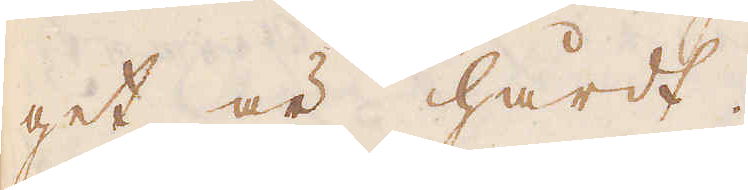get är hårdt.
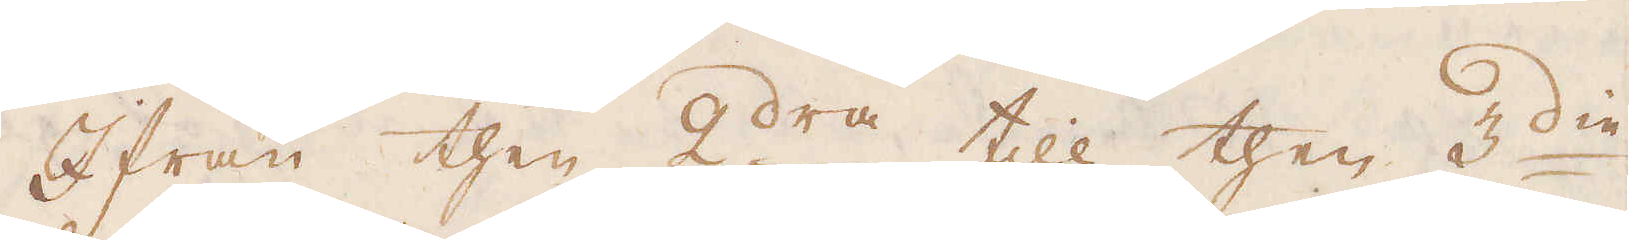Ifrån then 2dra till then 3die
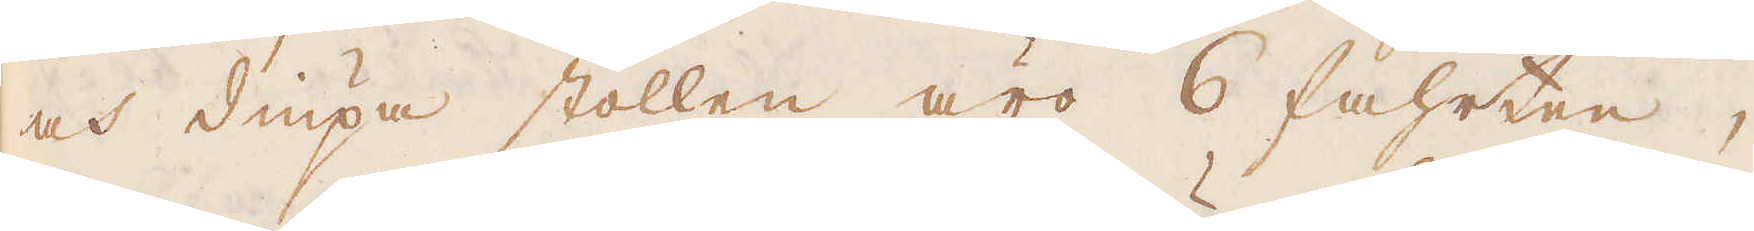och diupa stollen äro 6 fahrten,
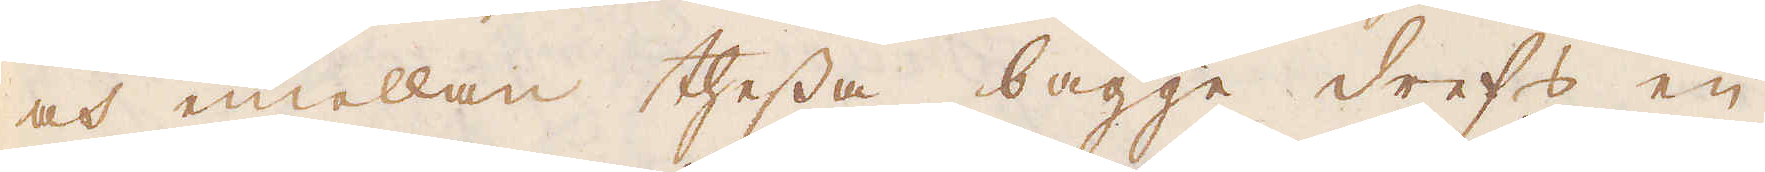och emellan thessa bägge drefs en
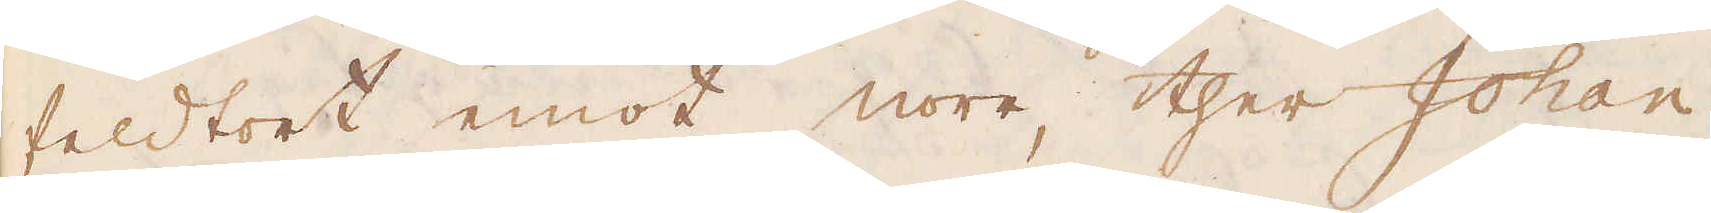feldtort emot norr, ther Johan
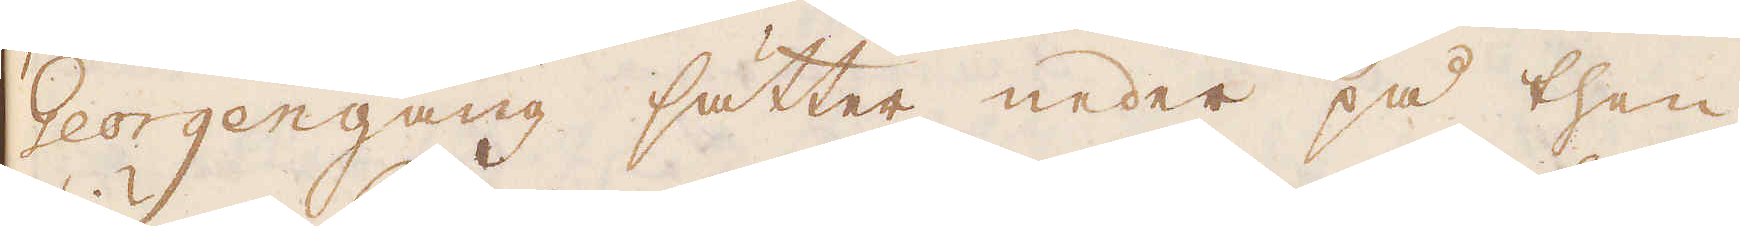Georgengang sätter neder på then
